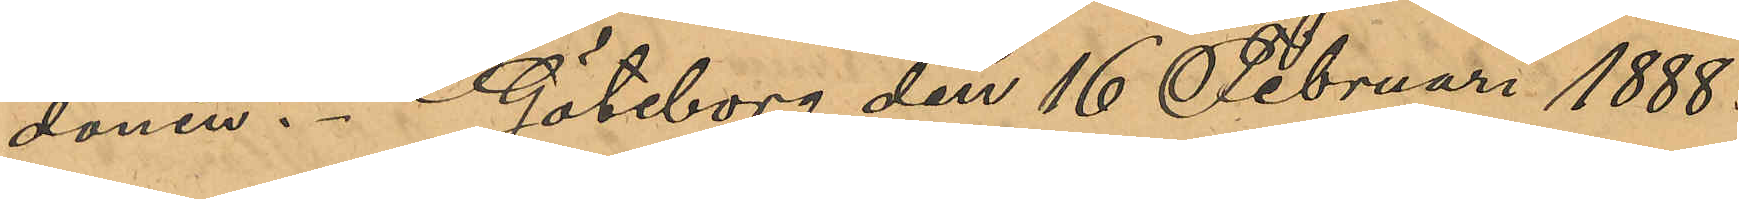donen. Göteborg den 16 Februari 1888.
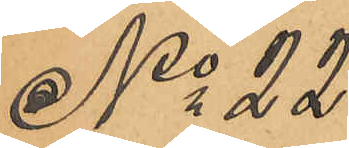No 22.
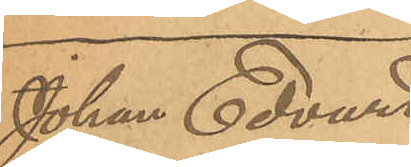Johan Edvard
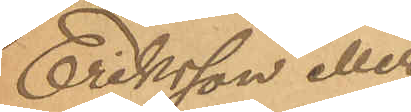Eriksson eller
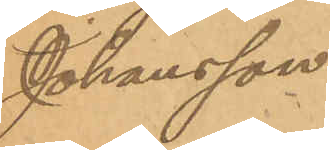Johansson
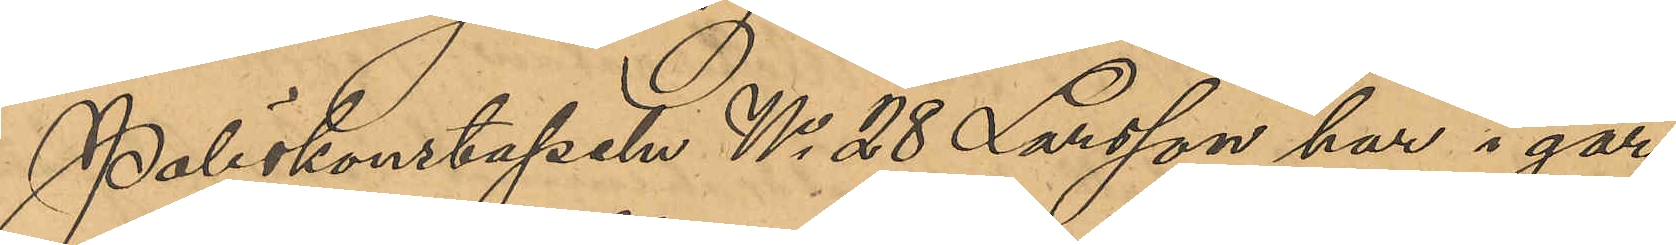Poliskonstapeln No 28 Larsson har i går
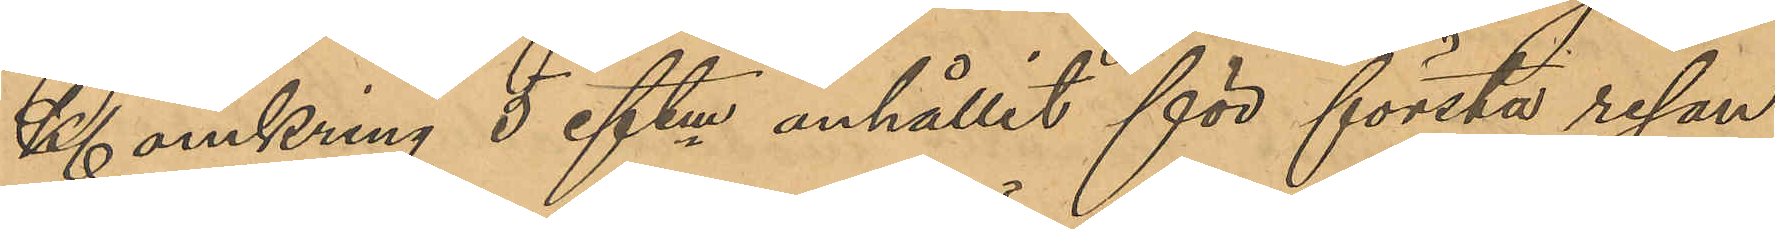Kl omkring 5 eftm anhållit för första resan
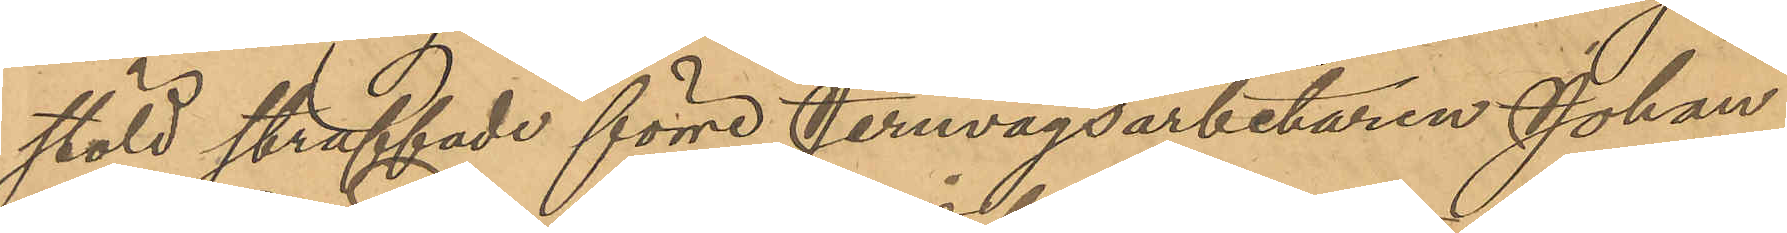stöld straffade förre Jernvägsarbetaren Johan
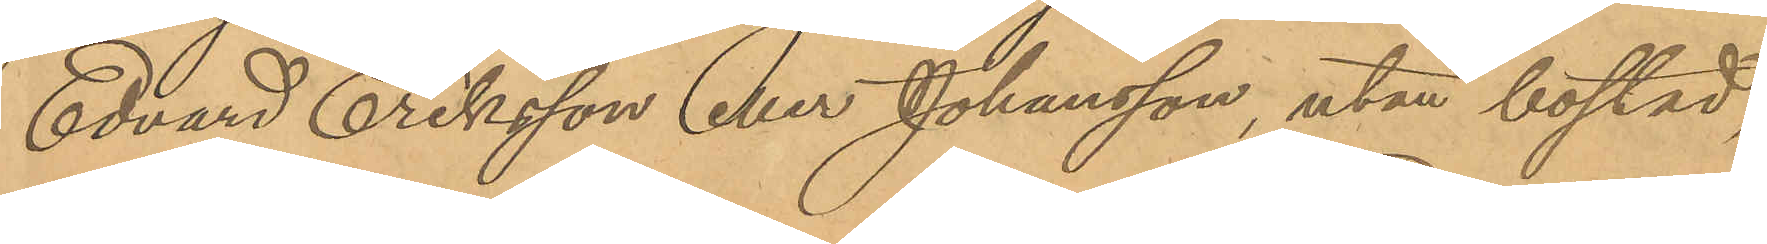Edvard Eriksson eller Johansson, utan bostad
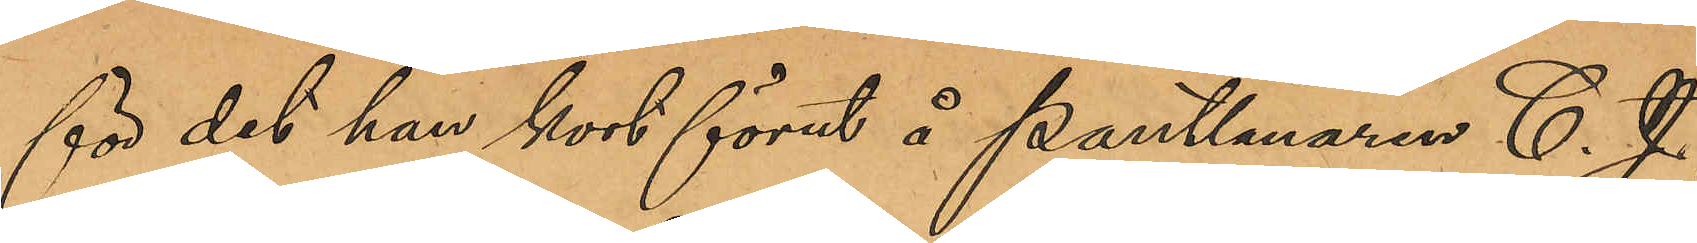för det han kort förut å Pantlånaren C. J.
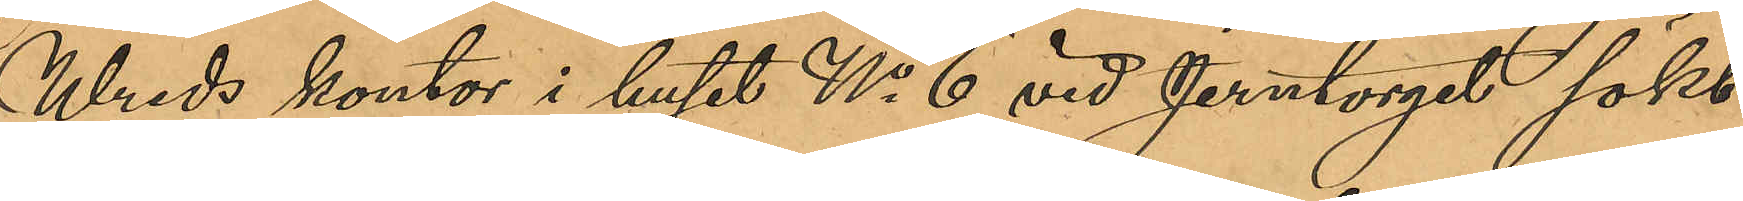Wreds kontor i huset No 6 vid Jerntorget sökt
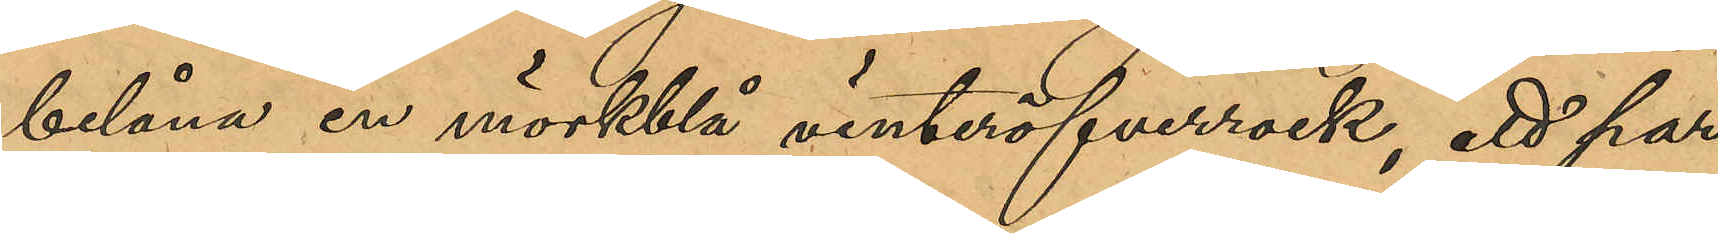belåna en mörkblå vinteröfverrock, ett par
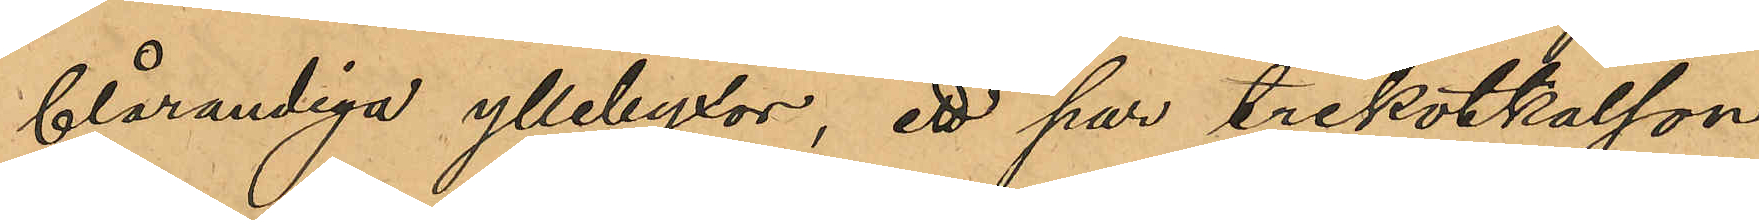blårandiga yllebyxor, ett par trikotkalson¬
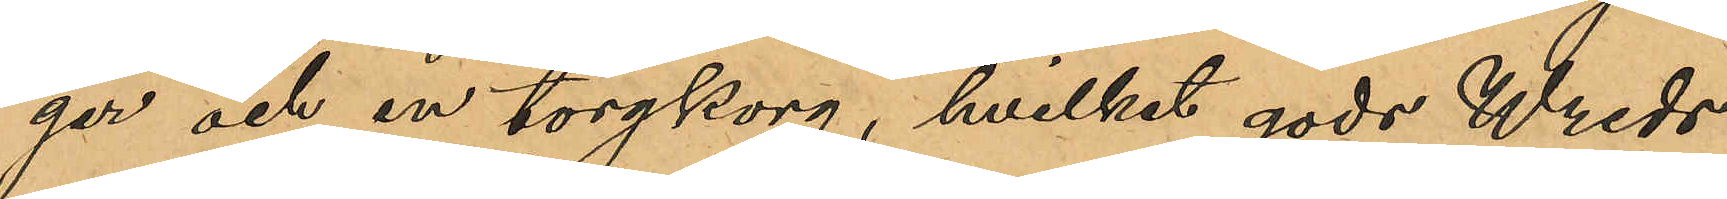ger och en torgkorg, hvilket gods Wreds
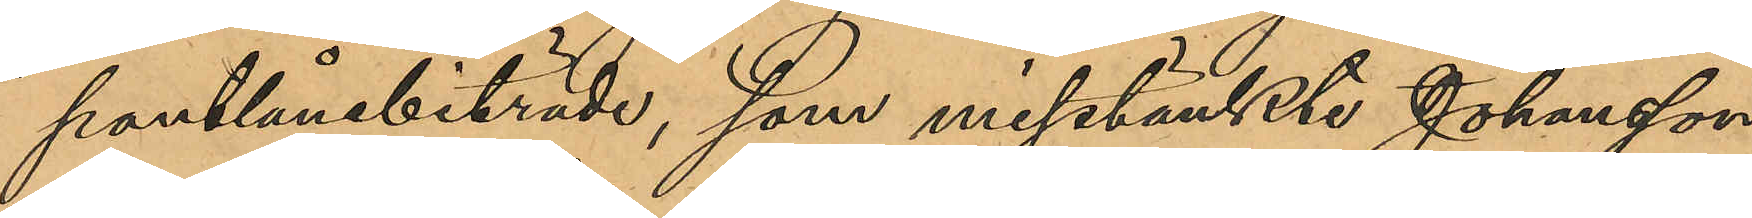pantlånebiträde, som misstänkte Johansson
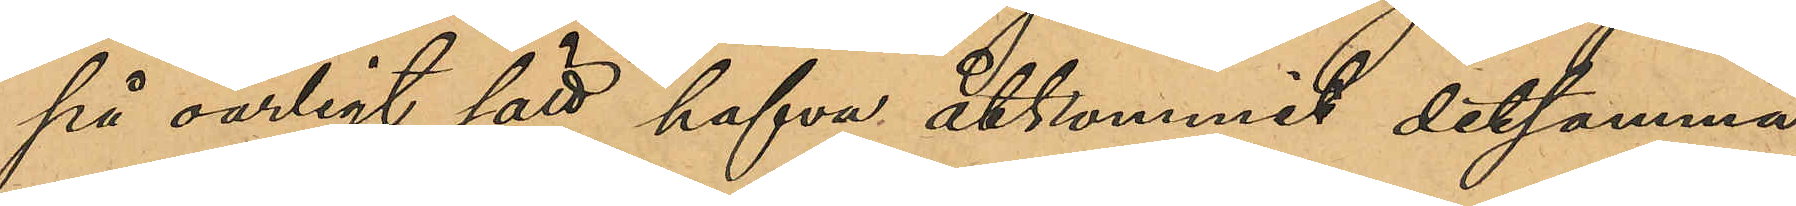på oärligt sätt hafva åtkommit detsamma,
